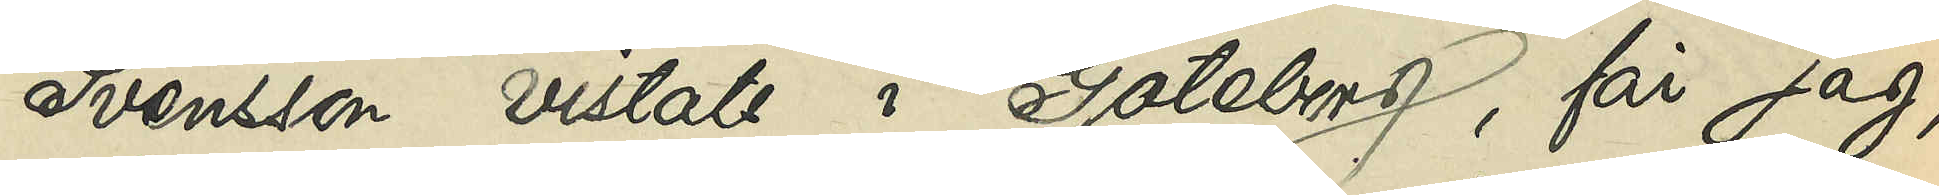Svensson vistats i Göteborg, får jag,
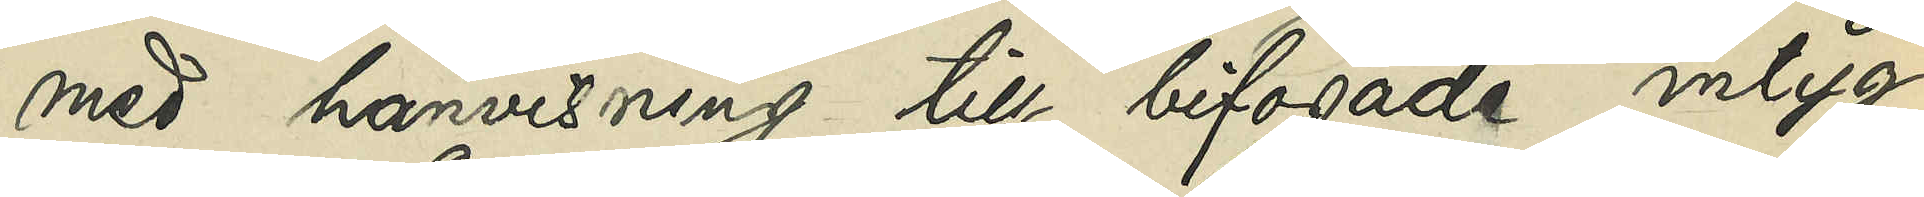med hänvisning till bifogade intyg
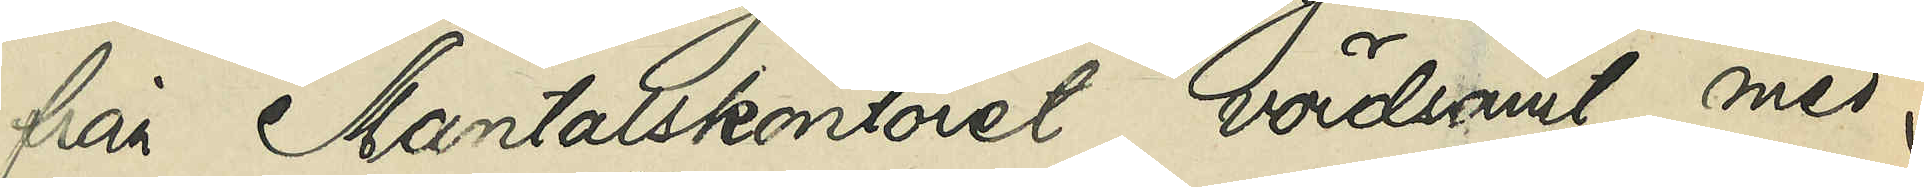från Mantalskontoret, vördsamt med¬
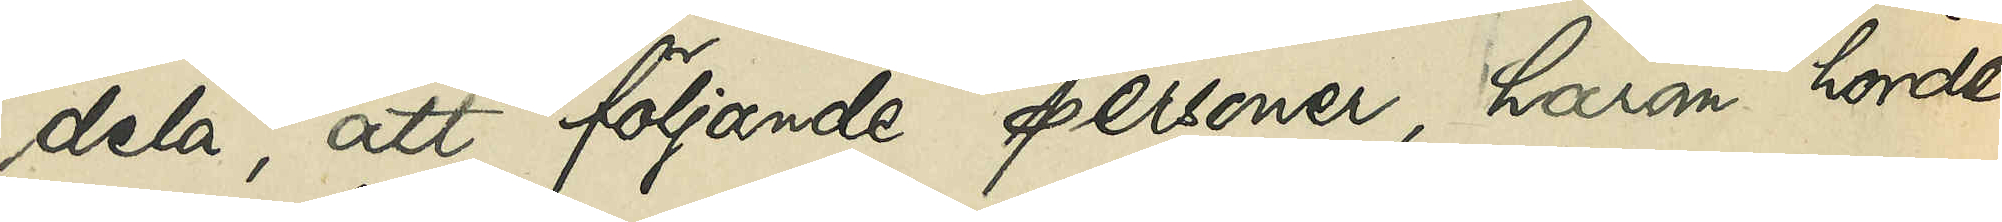dela, att följande personer, härom hörde,
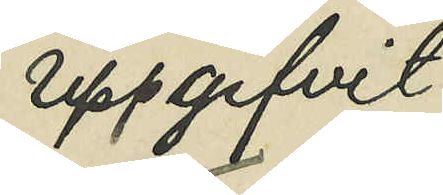uppgifvit:
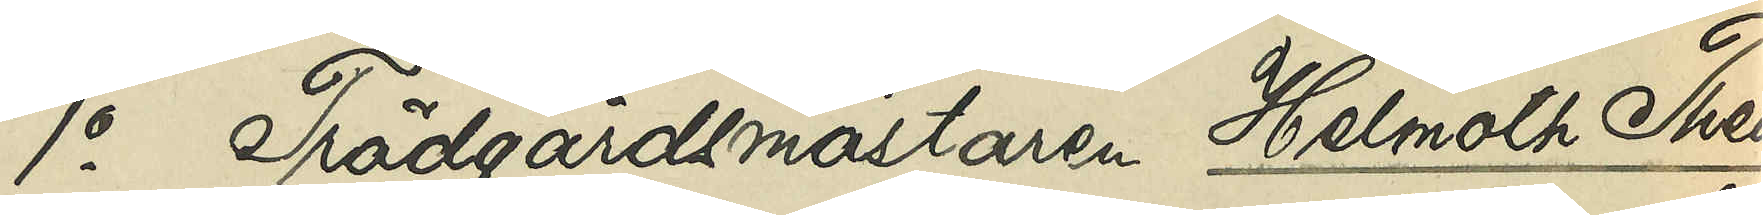1o Trädgårdsmästaren Helmoth Theo¬
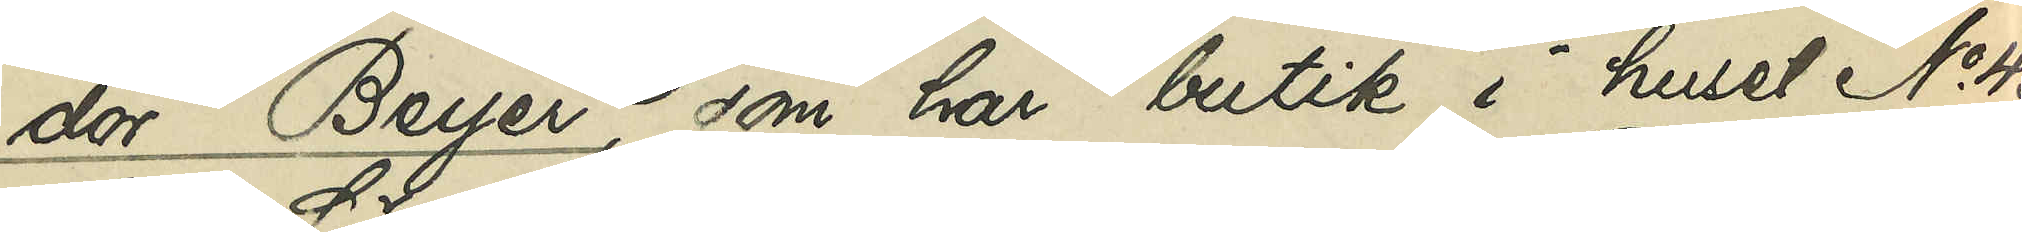dor Beyer, som har butik i huset No 43
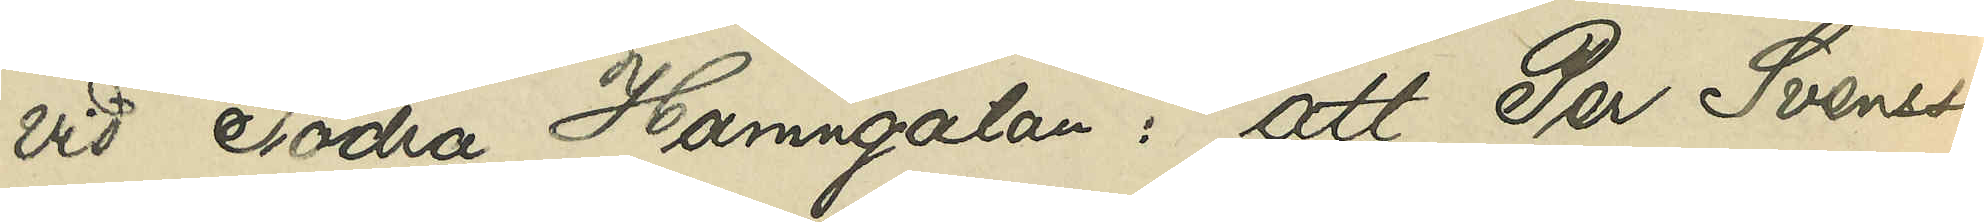vid Södra Hamngatan, att Per Svensson
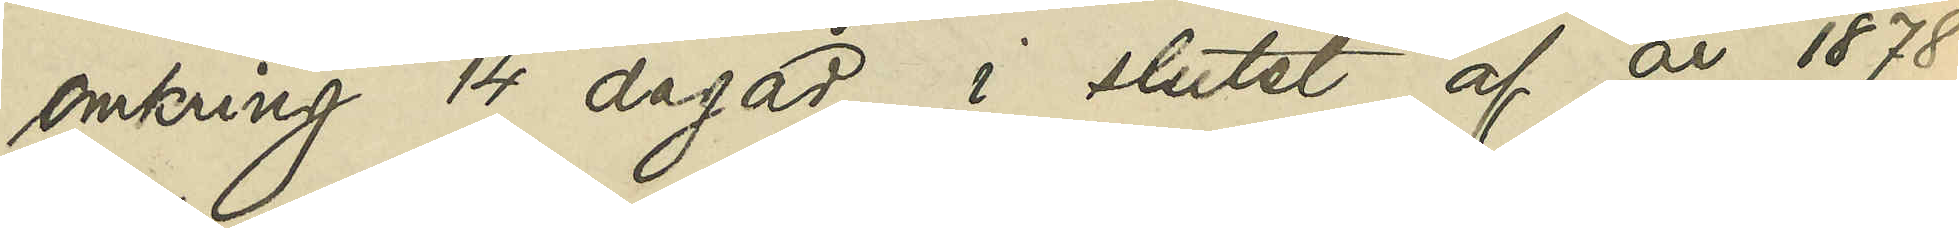omkring 14 dagar i slutet af år 1878
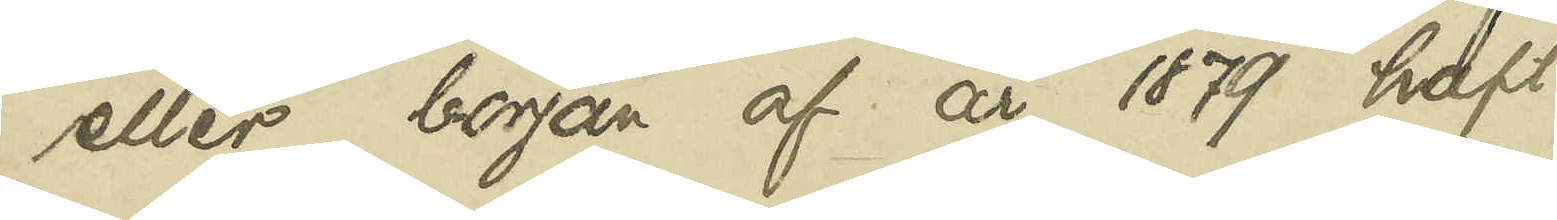eller början af år 1879 haft
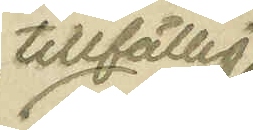tillfällig
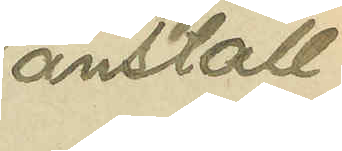anställ¬
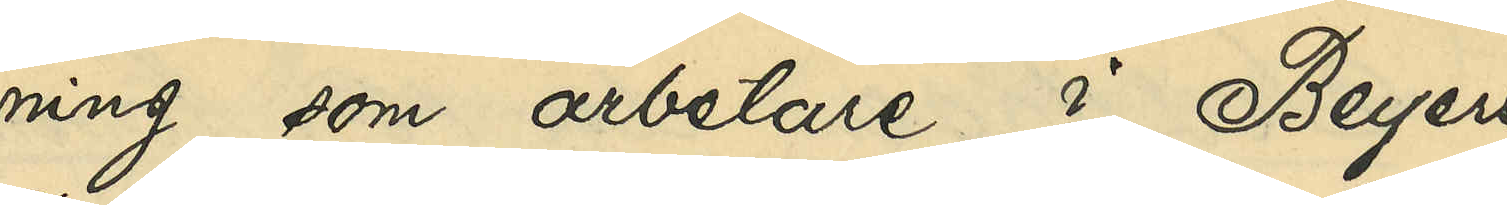ning som arbetare i Beyers
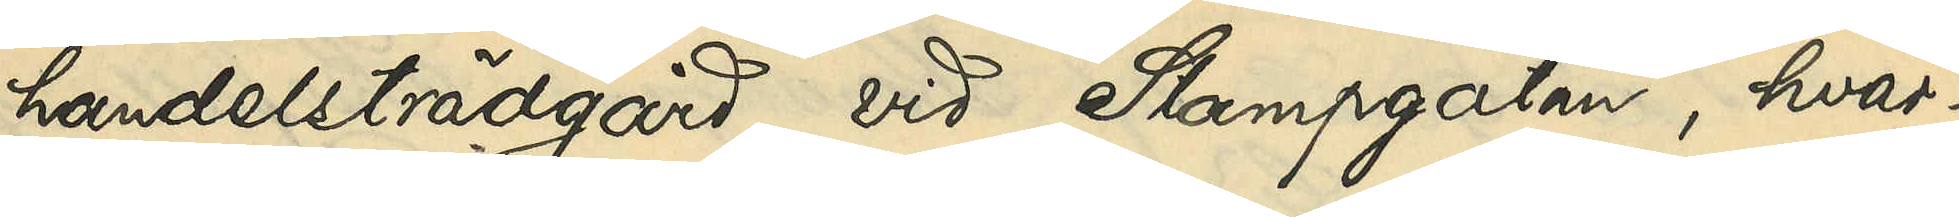handelsträdgård vid Stampgatan, hvar¬
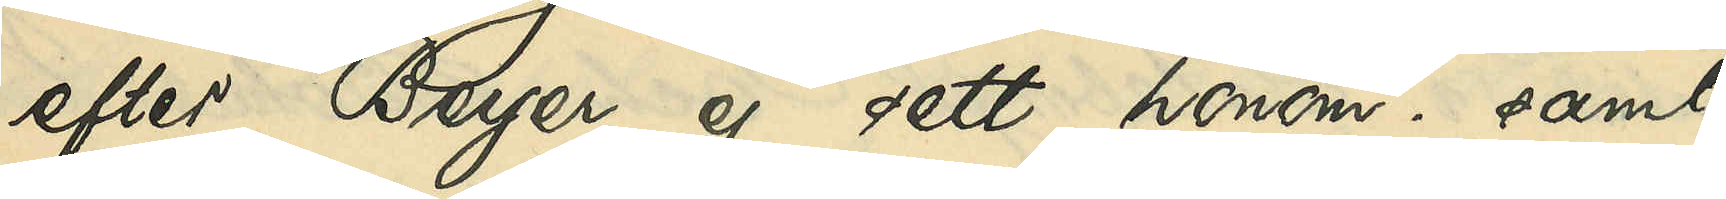efter Beyer ej sett honom; samt
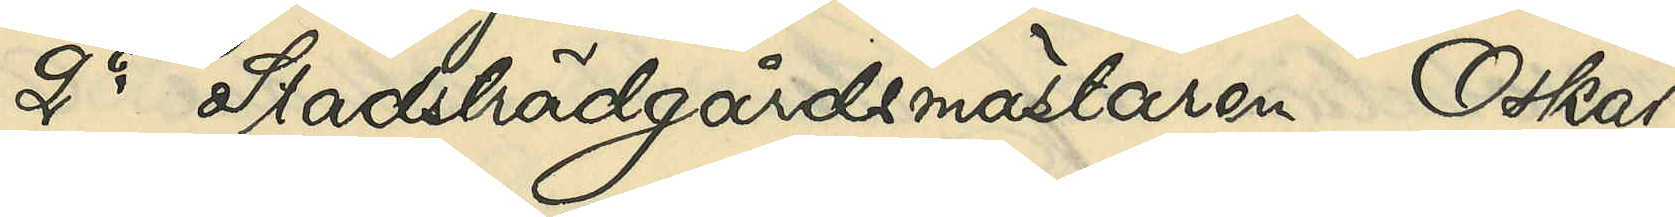2o Stadsträdgårdsmästaren Oskar
